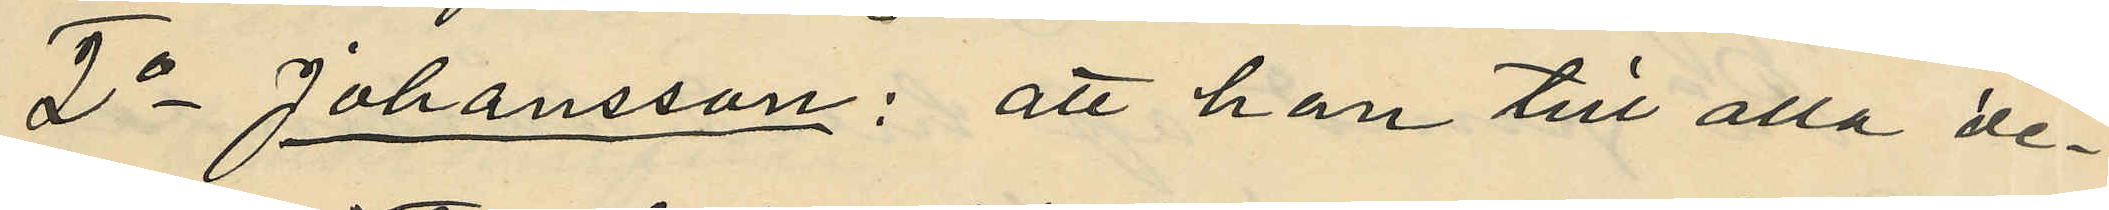2o Johansson: att han till alla de¬
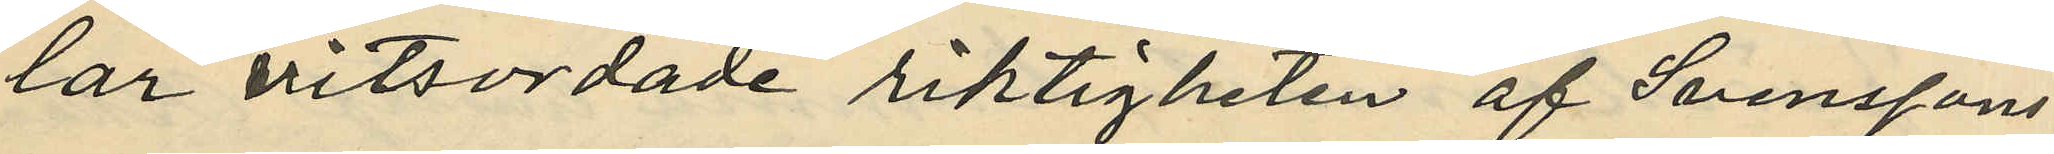lar vitsordade riktigheten af Svenssons
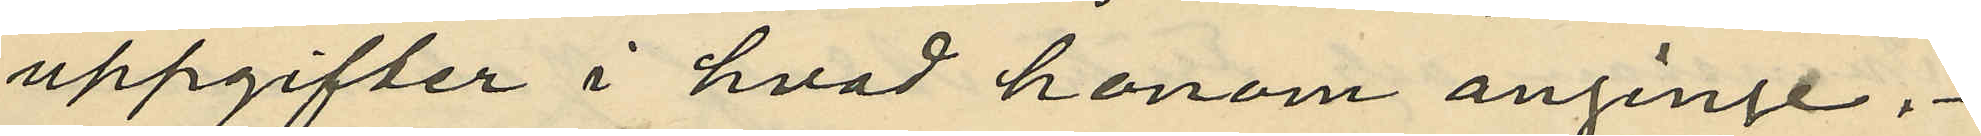uppgifter i hvad honom anginge.
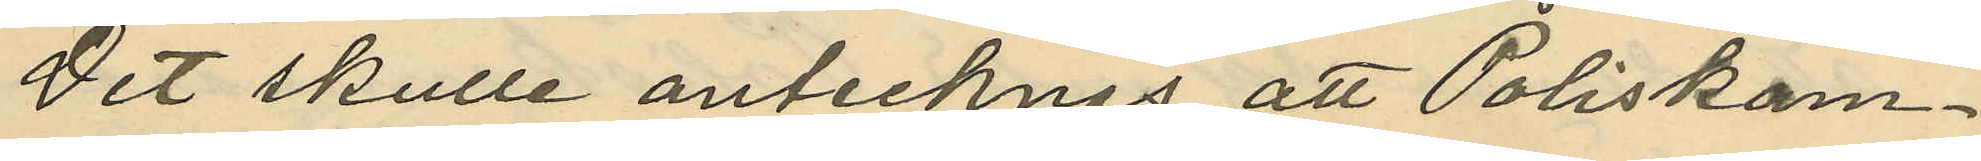Det skulle antecknas att Poliskam¬
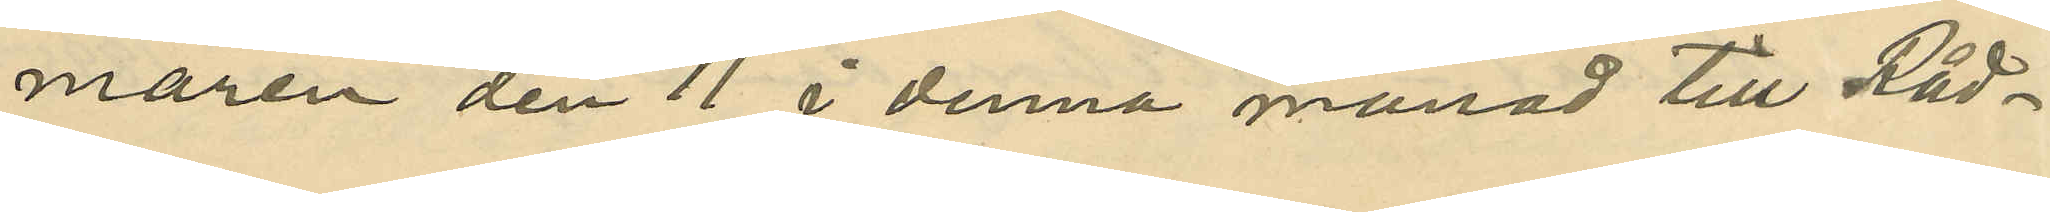maren den 11 i denna månad till Råd¬
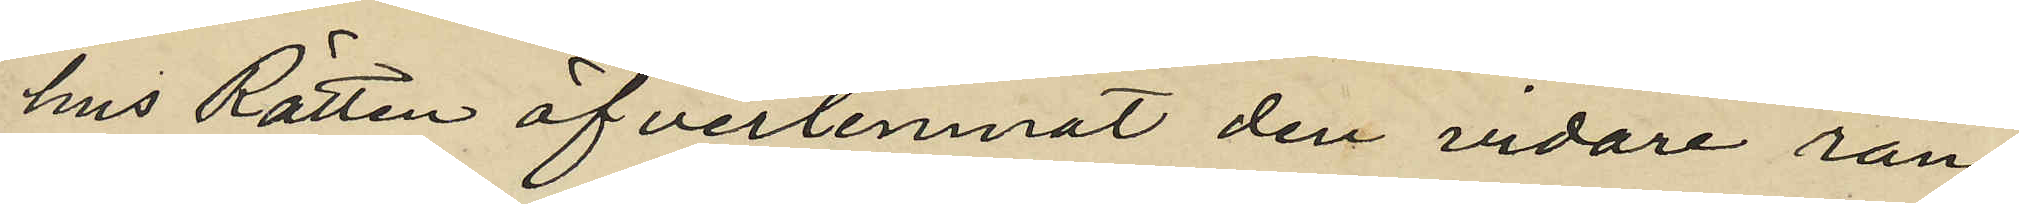hus Rätten öfverlemnat den vidare ran¬
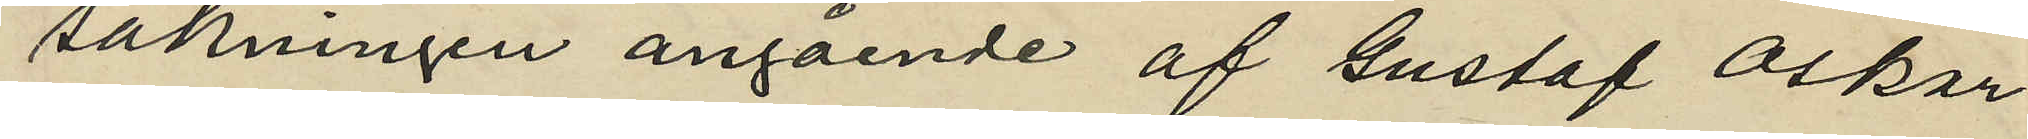sakningen angående af Gustaf Oskar
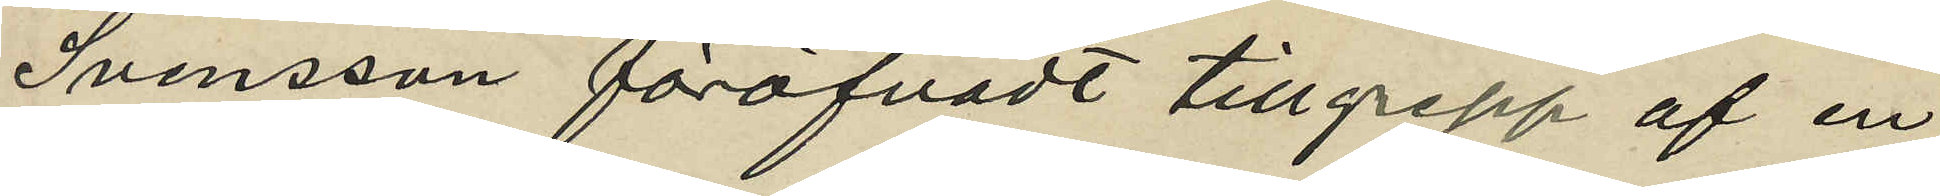Svensson föröfvadt tillgrepp af en
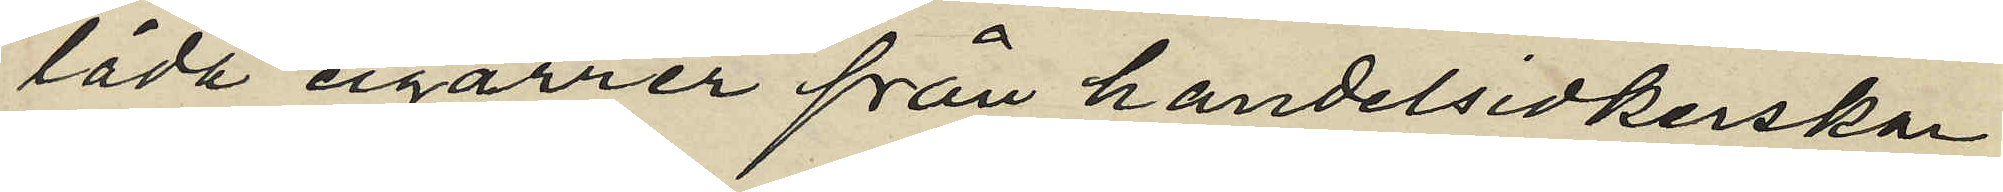låda cigarrer från handelsidkerskan
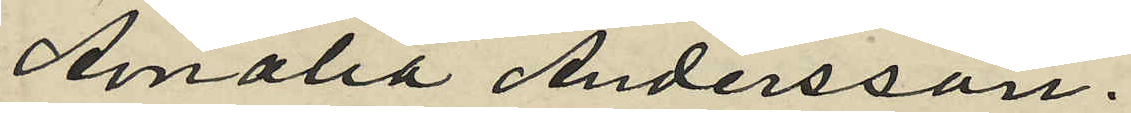Amalia Andersson.
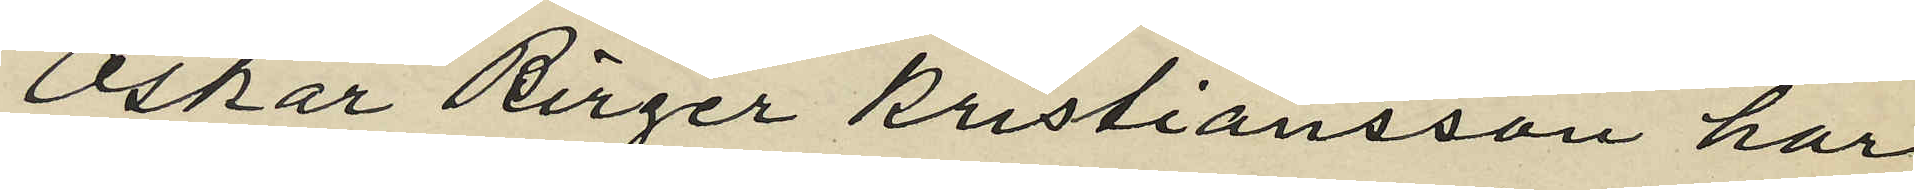Oskar Birger Kristiansson har
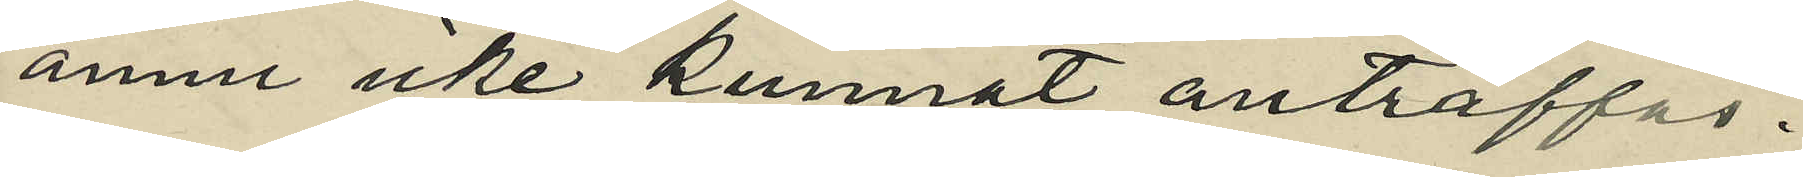ännu icke kunnat anträffas.
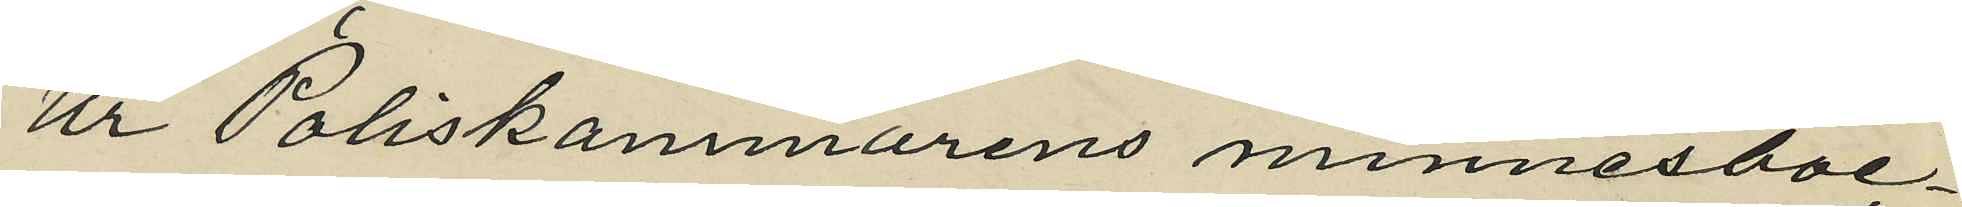Ur Poliskammarens minnesböc¬
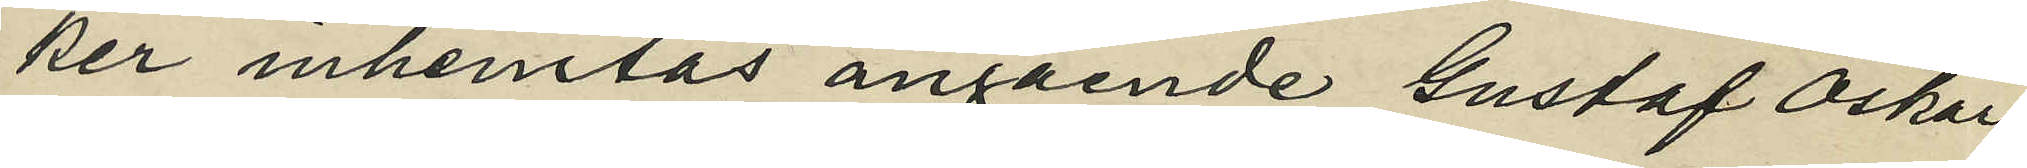ker inhemtas angående Gustaf Oskar
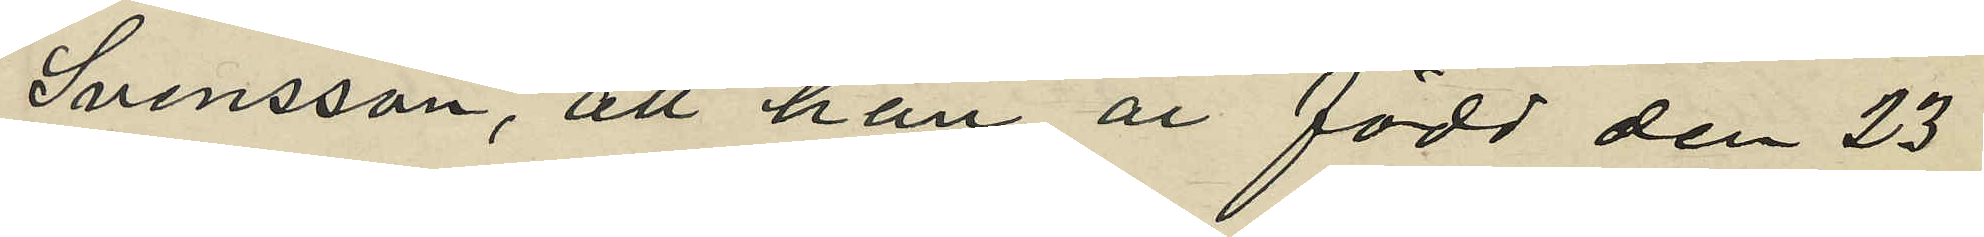Svensson, att han är född den 23
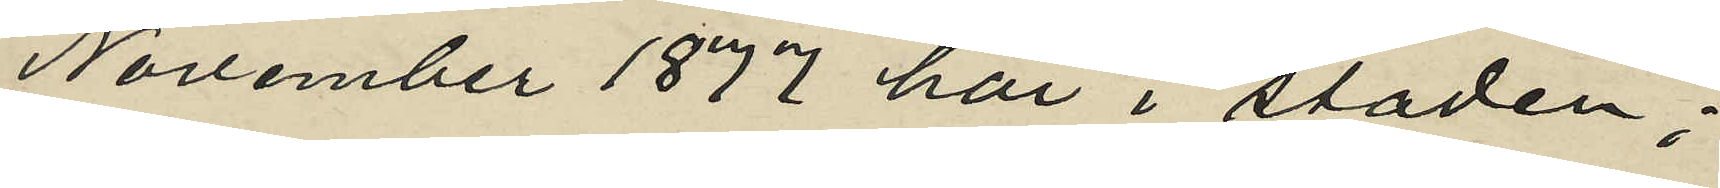November 1877 här i staden;
